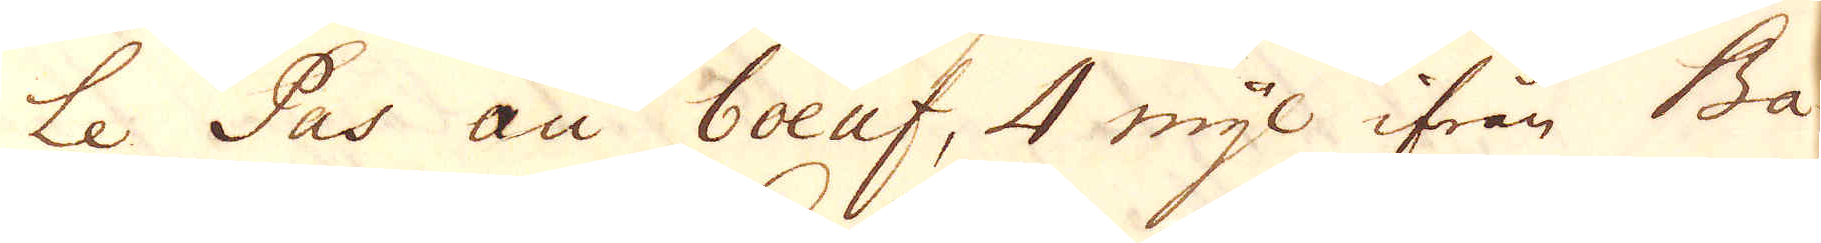Le Pas au boeuf, 4 mijl ifrån Ba-
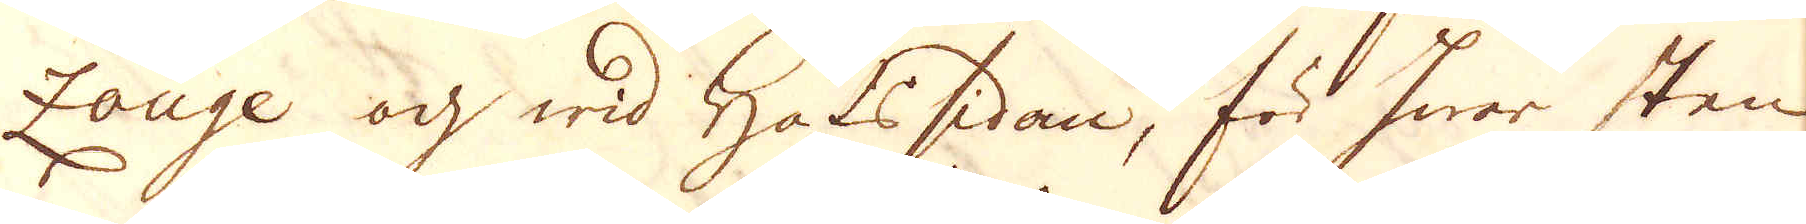zouge och wid Hafssidan, för hwar sten
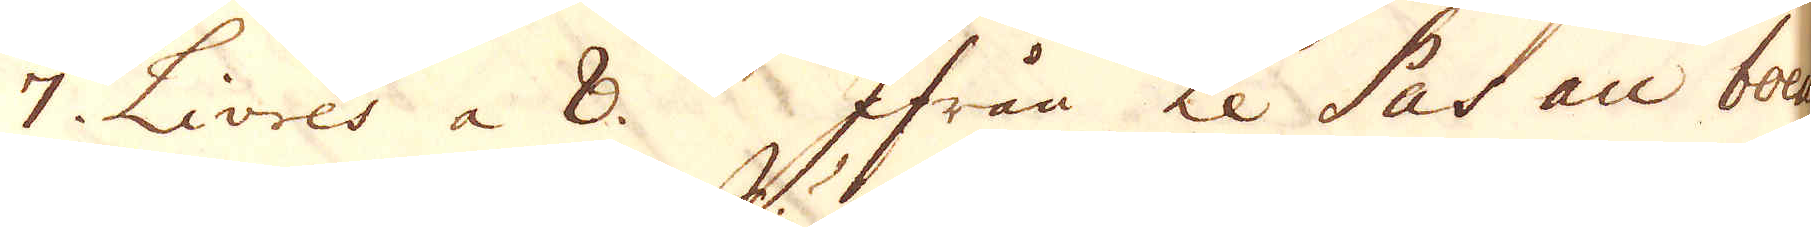7 Livres a 8. Ifrån Le Pas boeuf
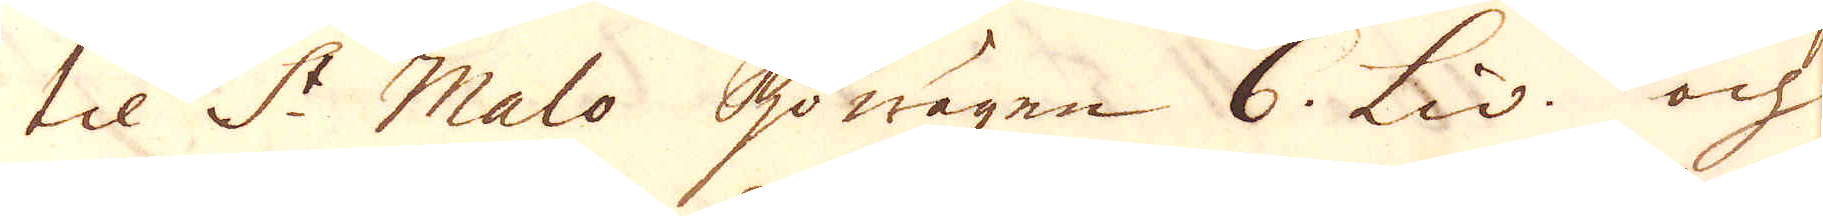til S:t Malo Sjöwägen 6 Liv. och
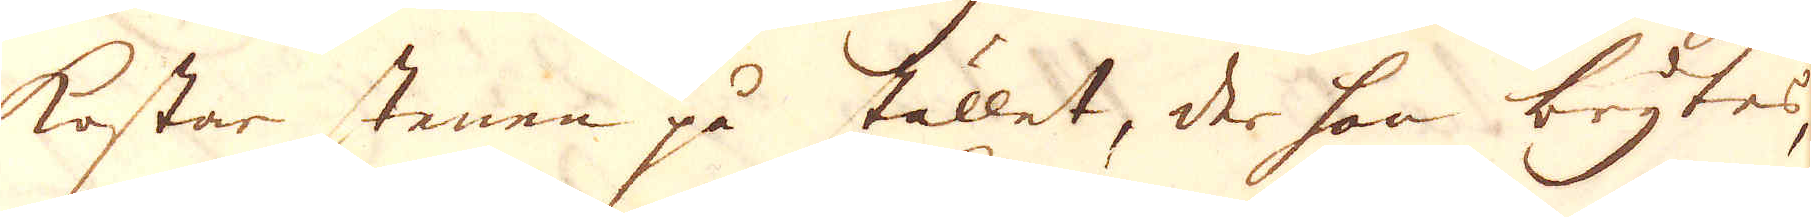kostar stenen på stället, der han brytes,
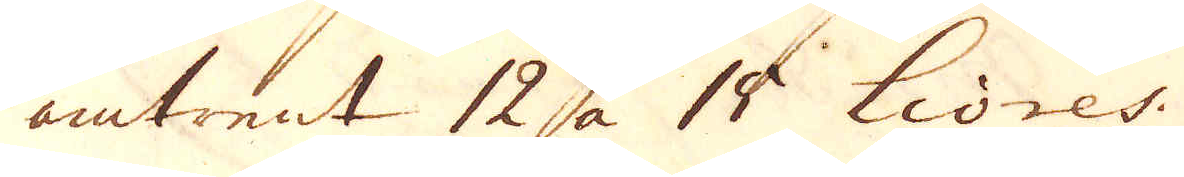omtrent 12 a 15 Livres.
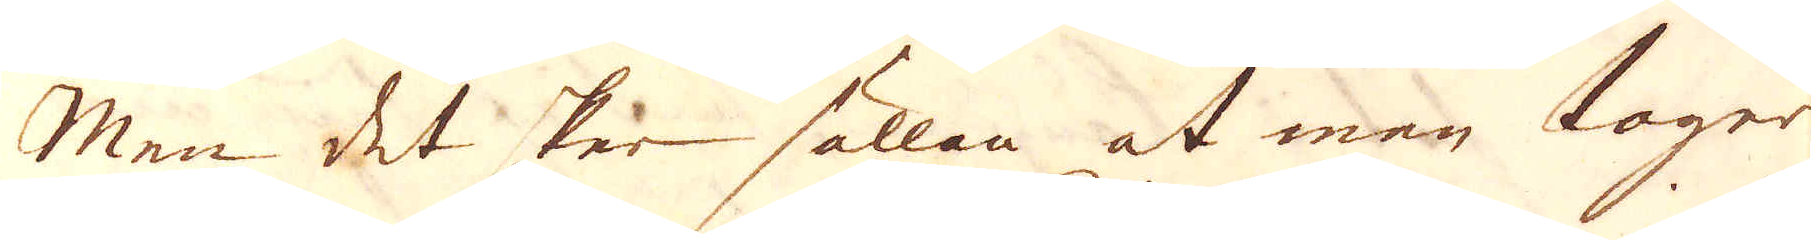Men det sker sällan at man tager
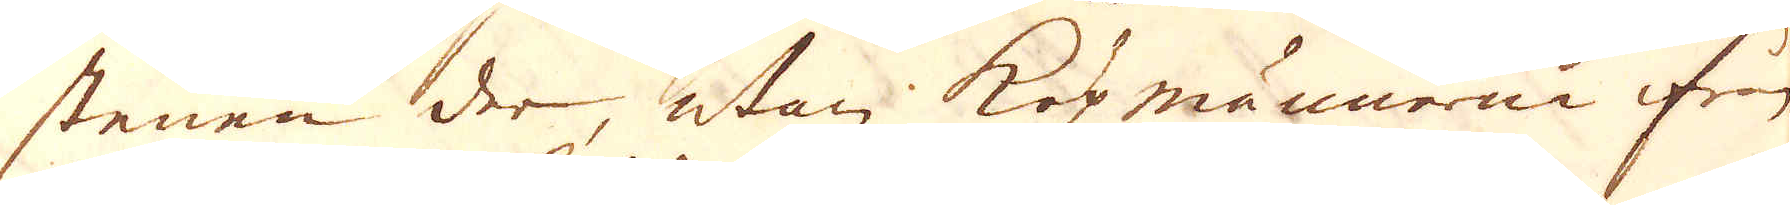stenen der, utan köpmännerne ifrån
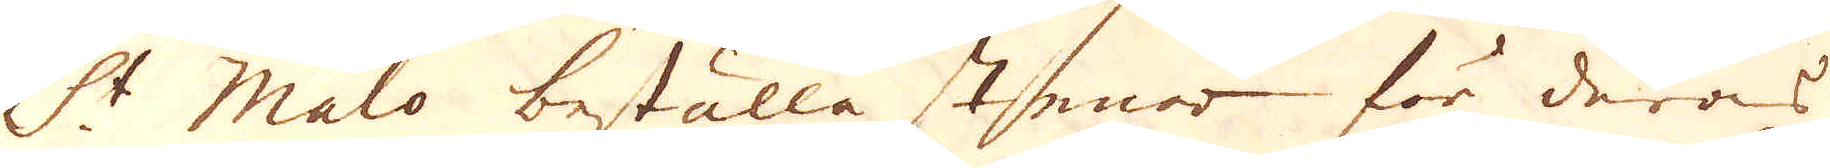St Malo beställa stenar för deras
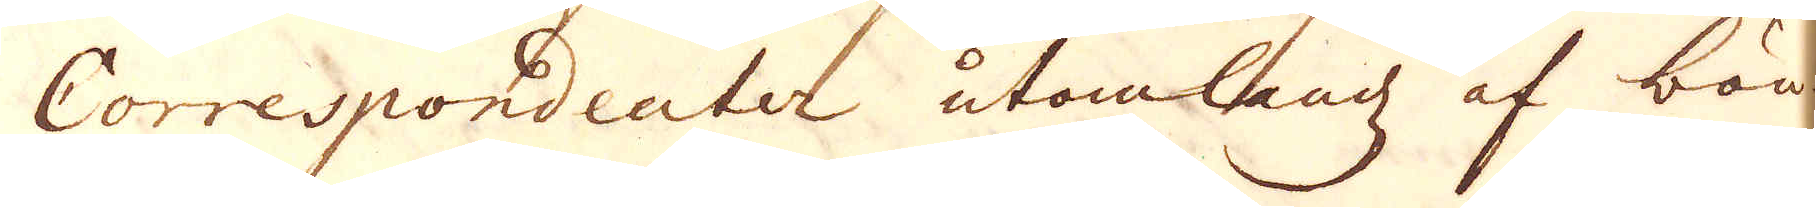Correspondenter utomlandz af bön-
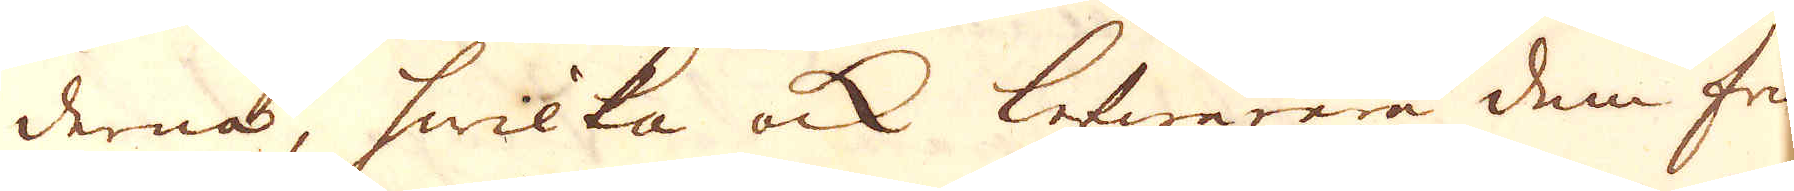derna, hwilka ock lefwarera dem fria
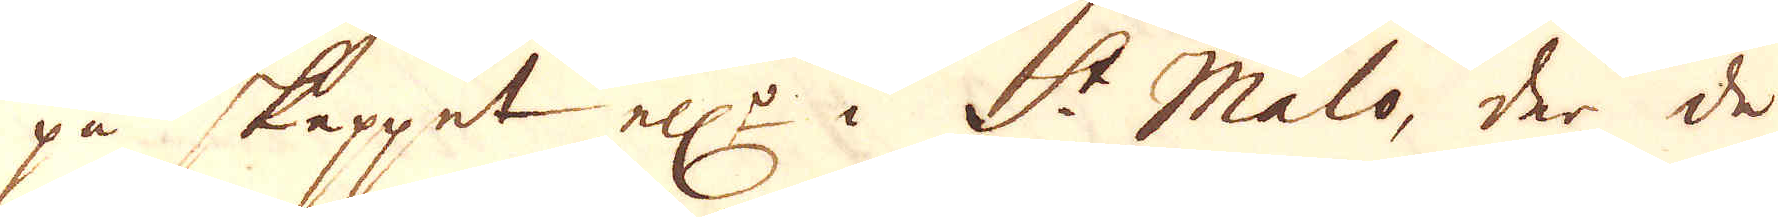på skeppet ell:r i St Malo, der de
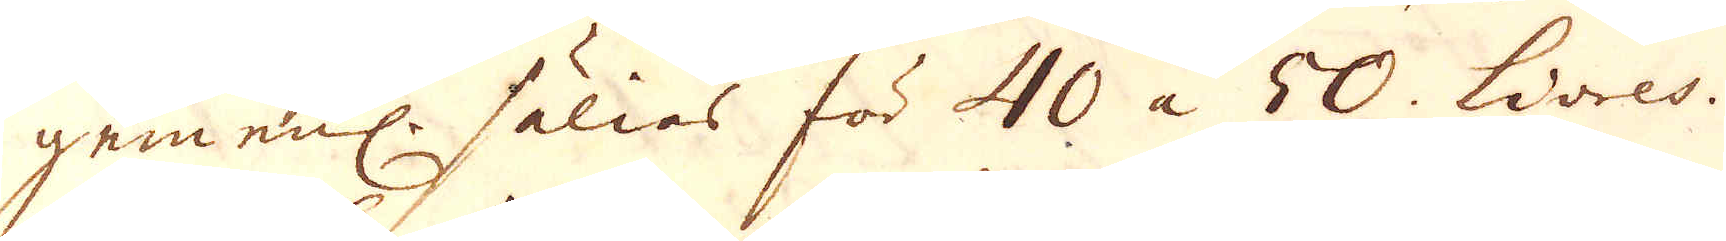gemenl. sälias för 40 à 50. Livres.
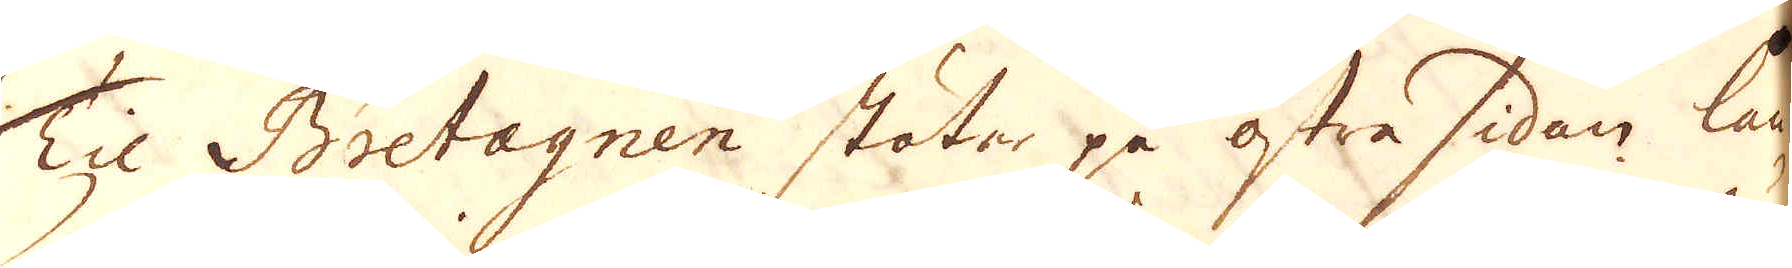Til Bretagnen stöter på östra sidan lan-
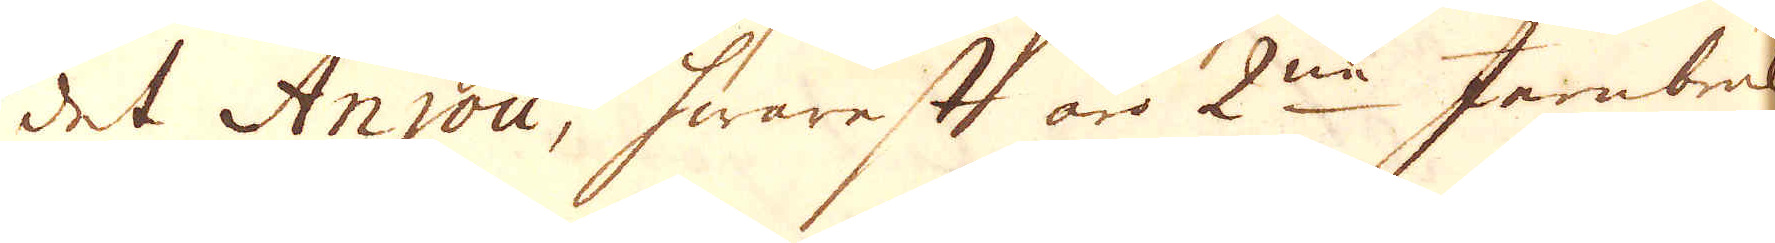det Anjou, hwarest äro 2ne Jernbruk
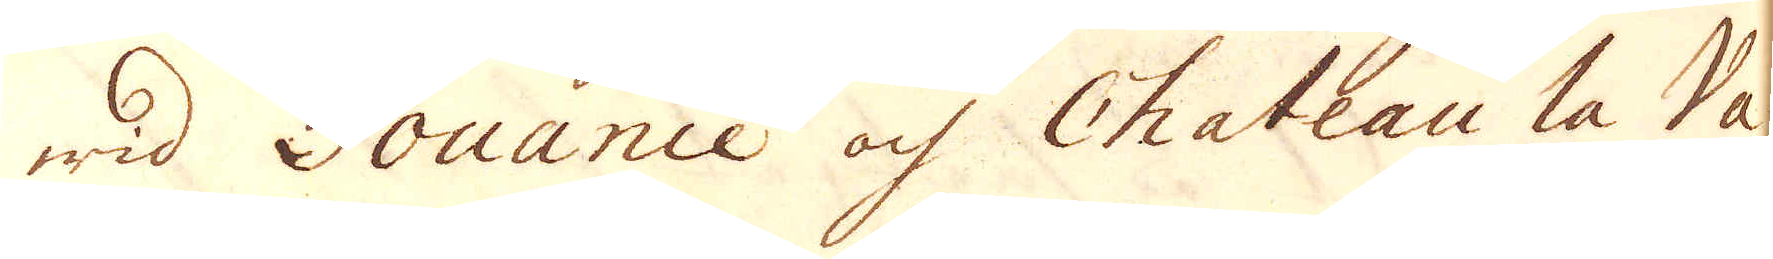wid Pouance och Chateau la Va-
